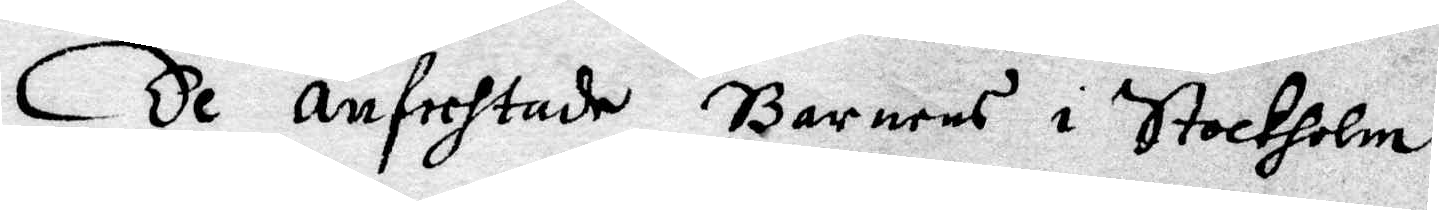De anfechtade Barnens i Stockholm
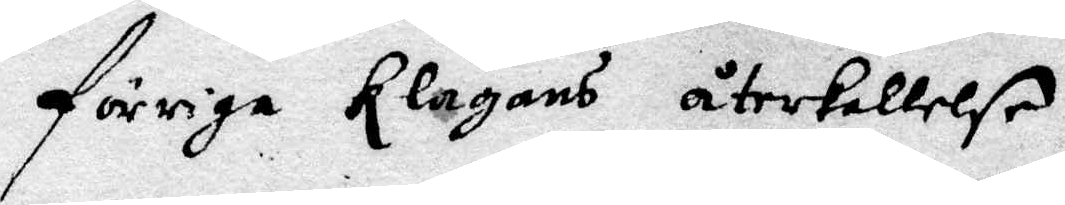förriga Klagans återkallelse
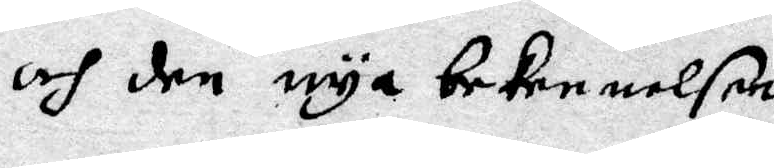och den nya bekennelsen
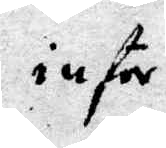inför
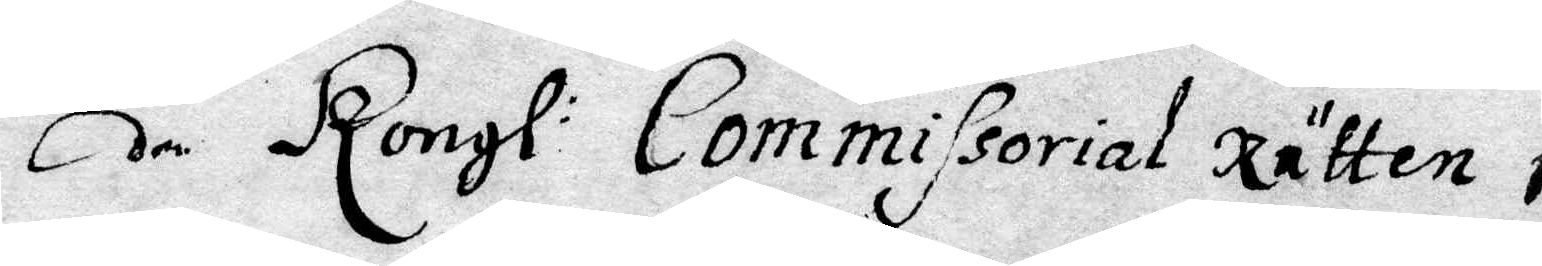den Kongl: Commissorial Rätten i
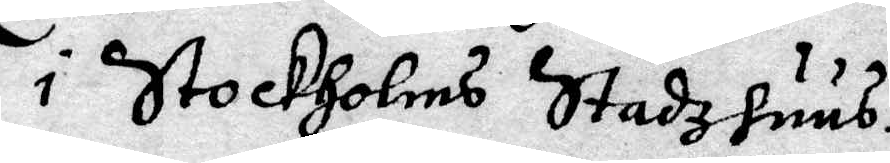i Stockholms Stadzhuus
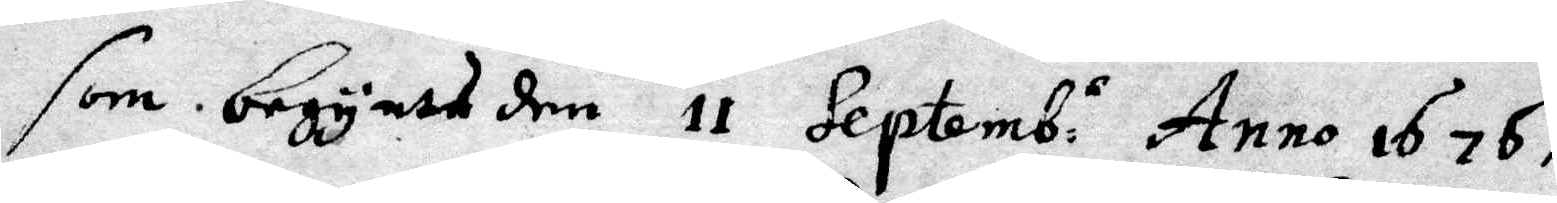som begyntes den 11 Septemb:s Anno 1676
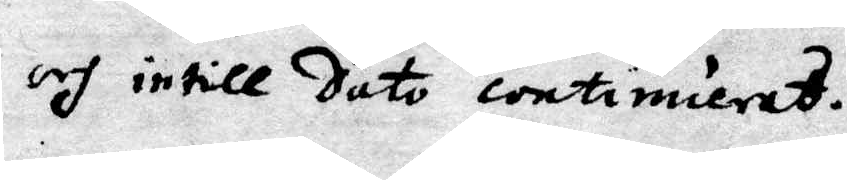och intill Dato continuerad.
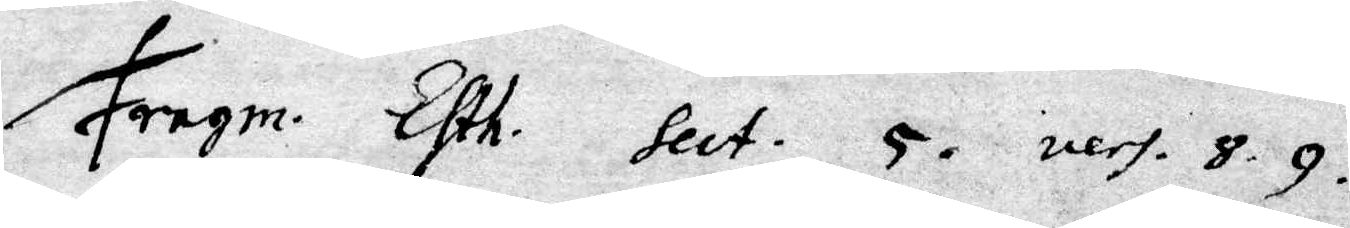Fragm. Efth. Sect. 5. ners. 8.9.
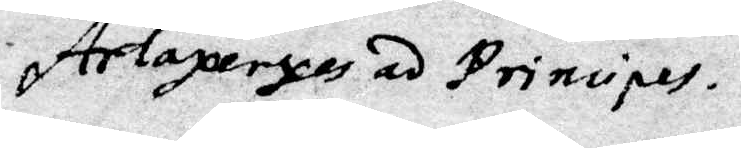Artaperxes ad principes.
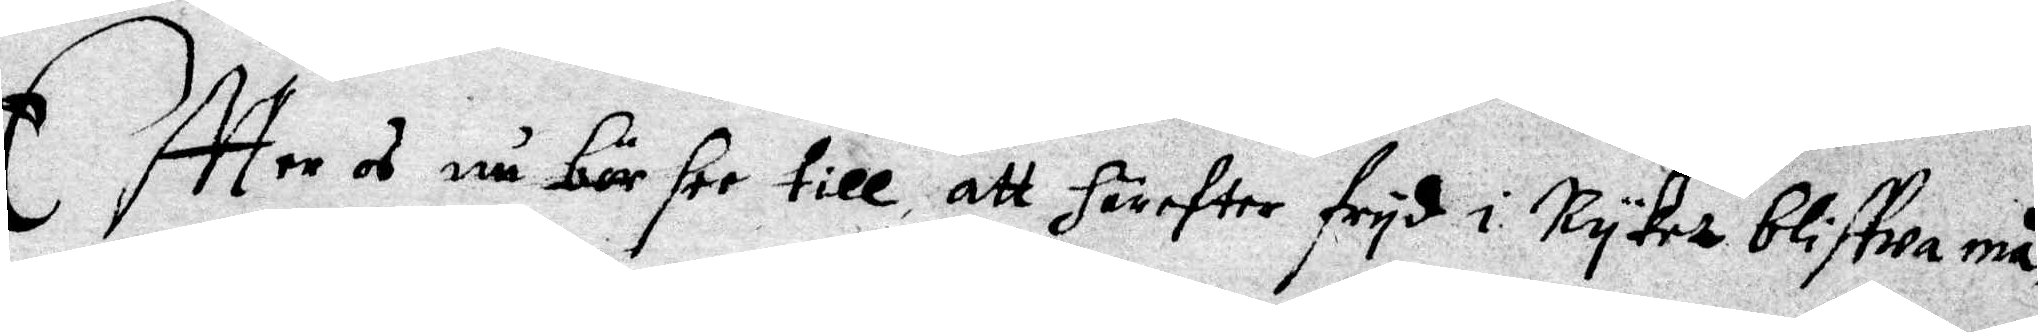Effter os nu bör see till, att härefter fryd i Ryket bliffwa må,
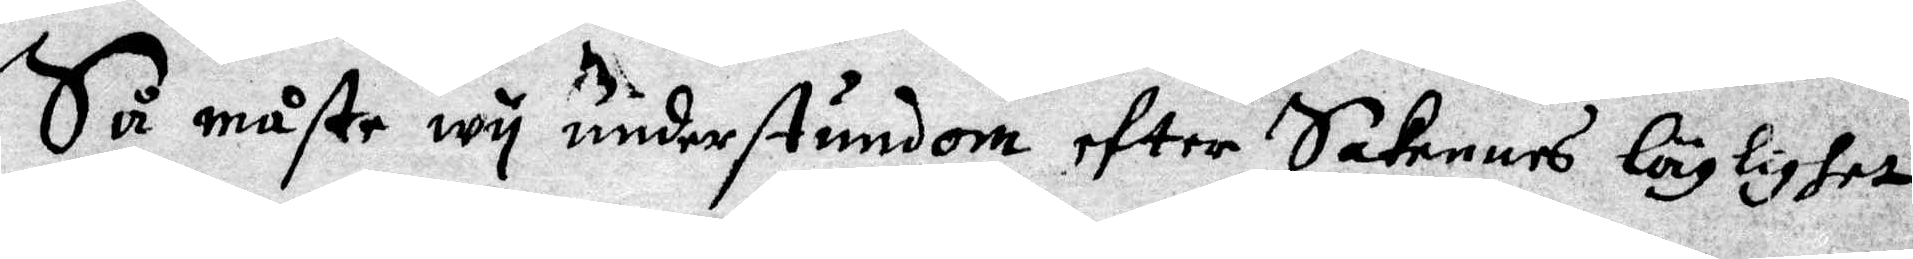Så måste wy understundom efter Satennes läglighet
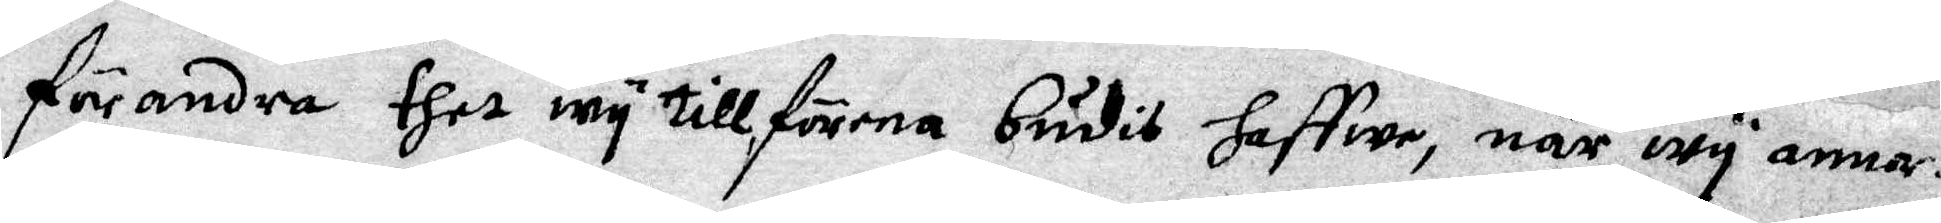förandra thet wy tillförena budit haffwe, när wy annor¬
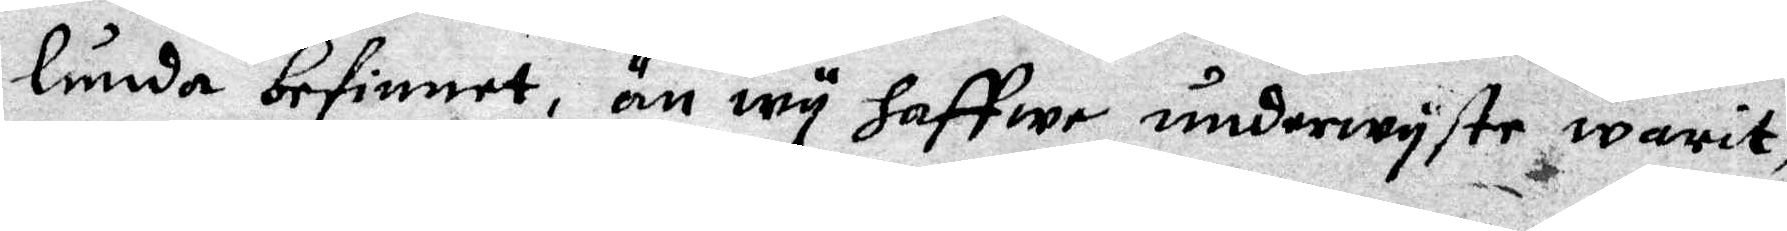lunda befinnet, än wy haffwe underwyste warit,
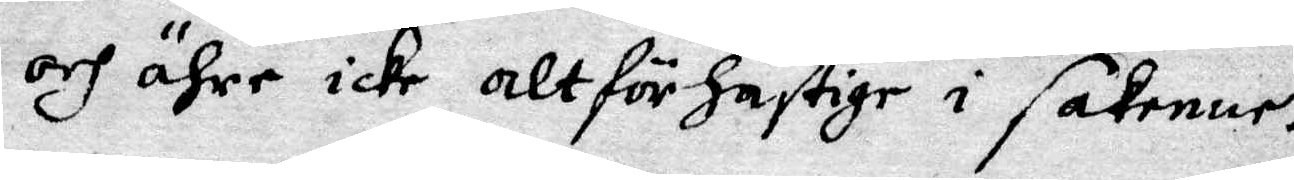och ähre icke alt för hastige i sakenne.
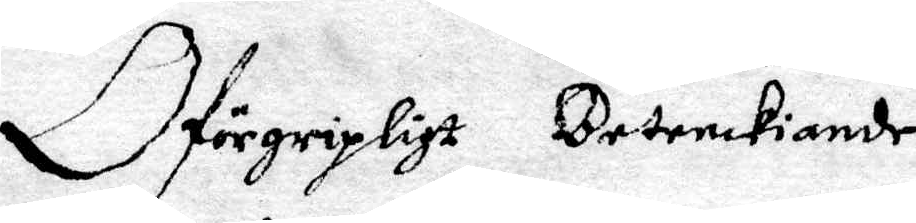Oförgripligt Betenckiande
